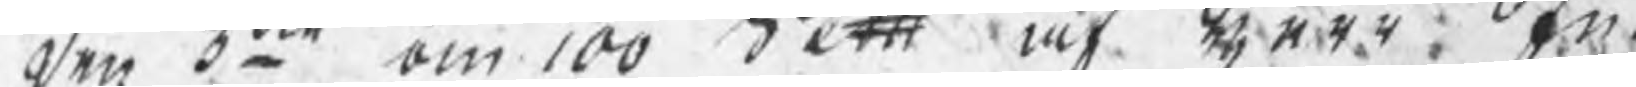den 3:mto om 100 dett af de447. An¬ 
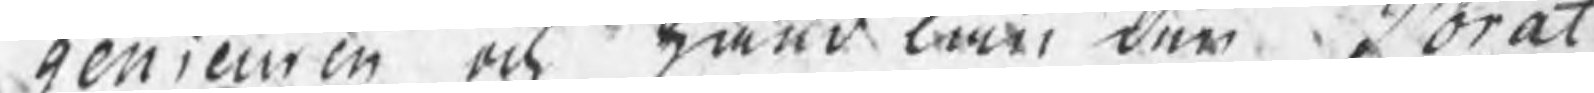genieuren, ock med lan den å orat
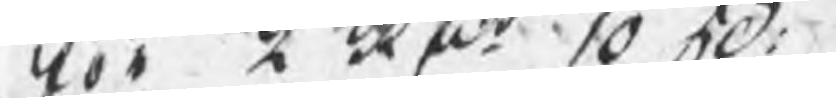vor  afr 1050. 
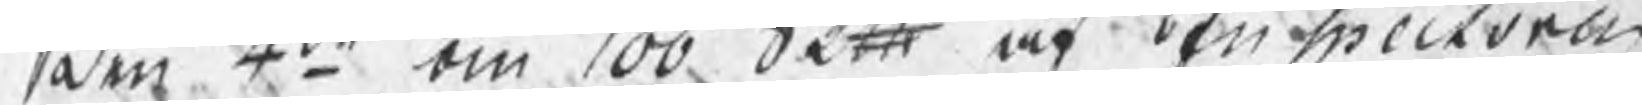som 4:to om 100 dett, of tnspeciorae 
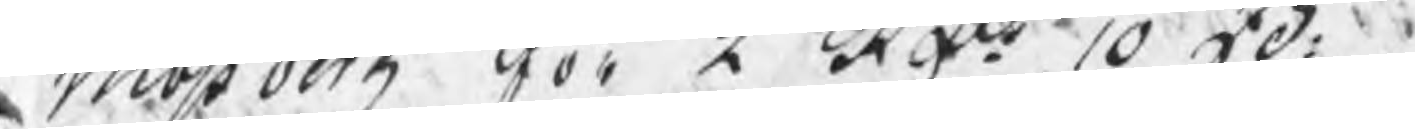Möberg FörL A:o 10 5d. 
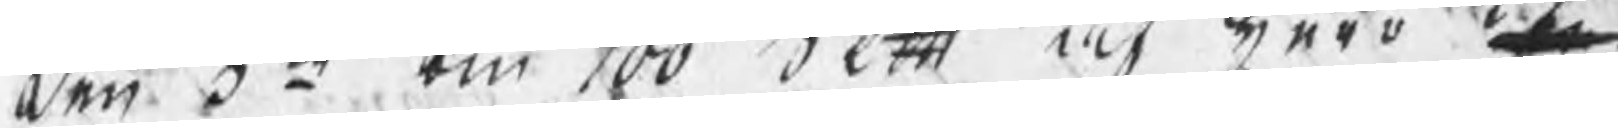den 5:te om 100 dett af bero e¬ 
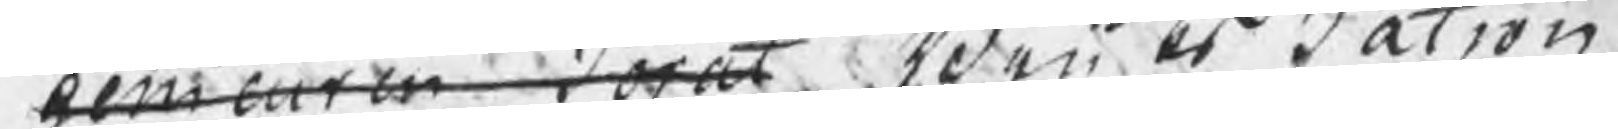beieermnras Weu bt Salron
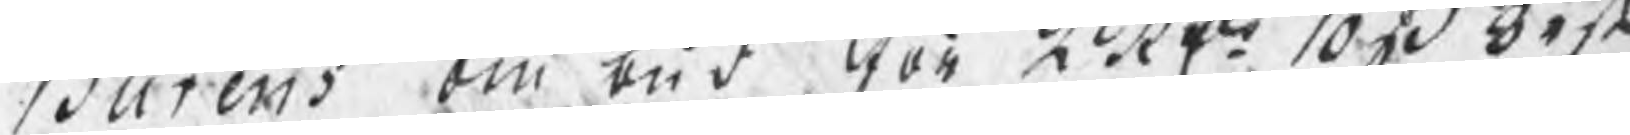Barers om bud För Läkto 1030 Oest 
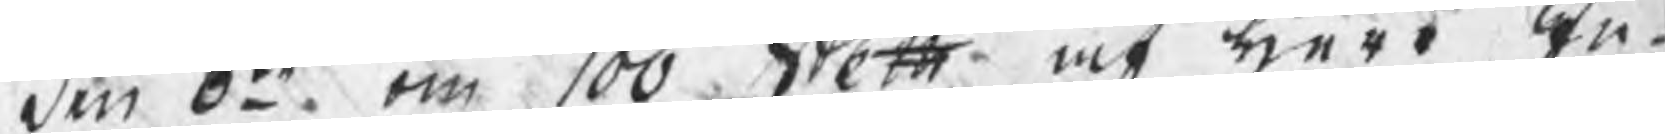den S:m om 100 dott at ter En¬ 
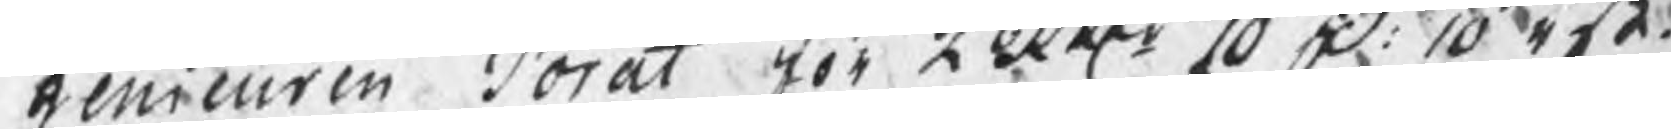genicurin dorat För Leetto 10 D 1045t.
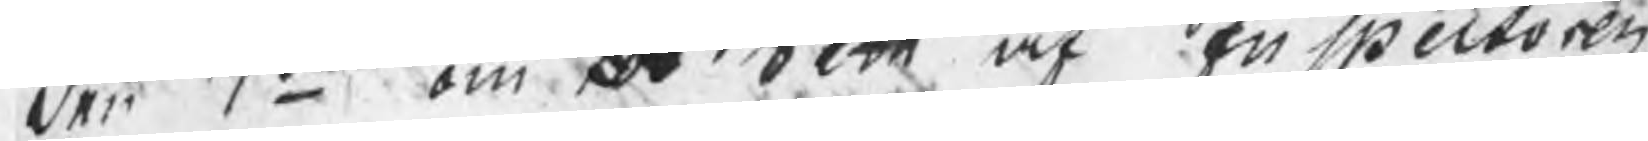den 7:mo om bo vett, at En ectoren 
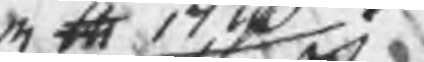att fki¬
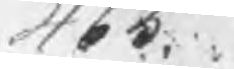465.
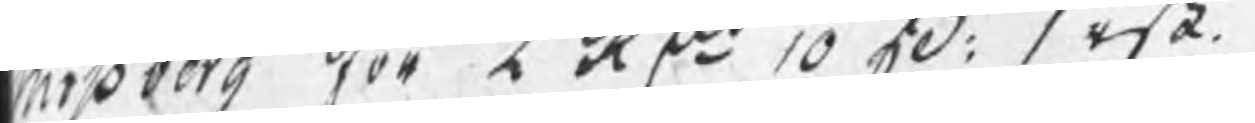Eöberg För 2 Af:o 10 20. visa.
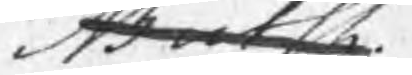arka.
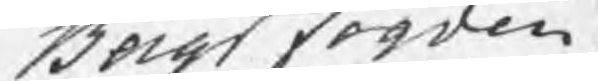Beigs torden
